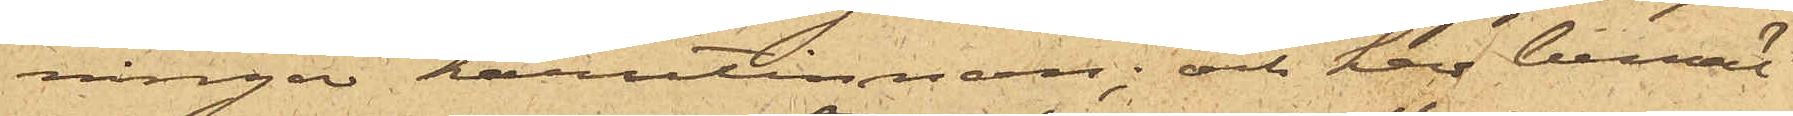ningar härutinnan; och har bemäl¬
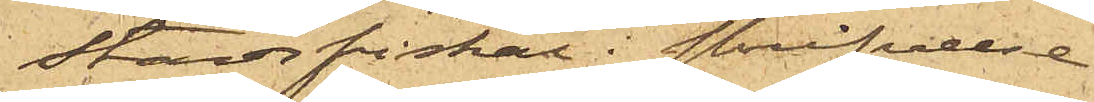Stadsfiskal i skrifvelse
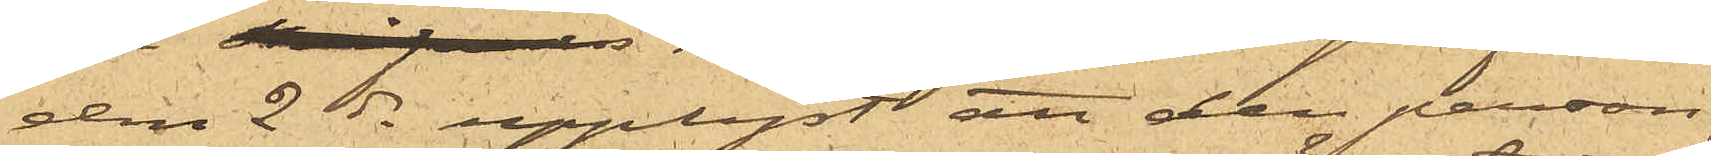den 2ds upplyst att den person,
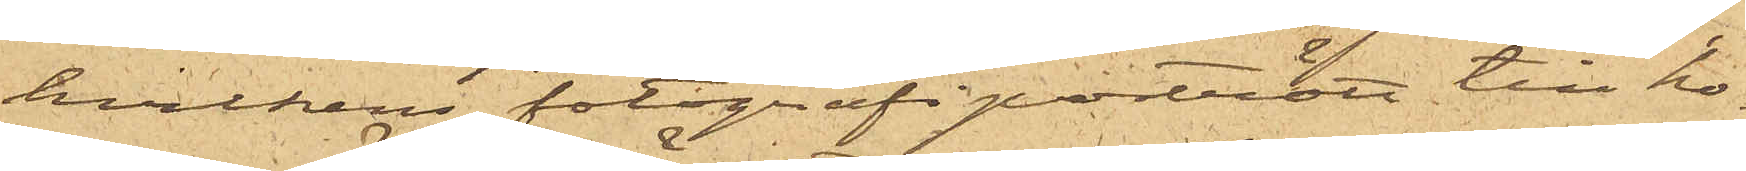hvilkens fotografiporträtt till ho¬
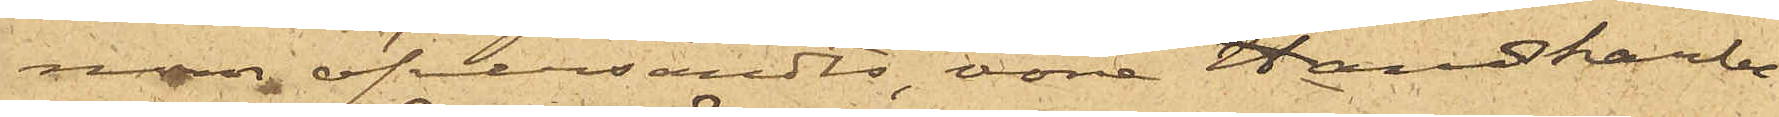nom öfversändts, vore Handskarbe¬
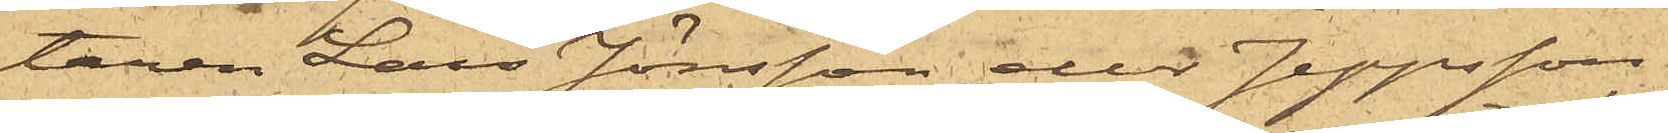taren Lars Jönsson eller Jeppsson
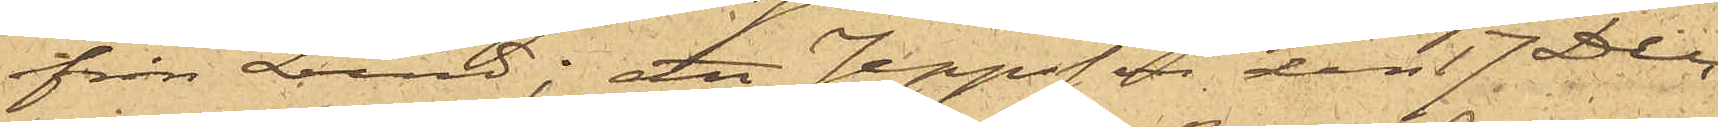från Lund; att Jeppsson den 17 Dec.
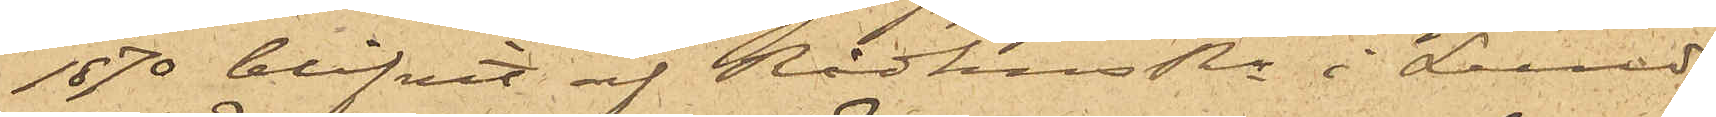1870 blifvit af RådhusRn i Lund
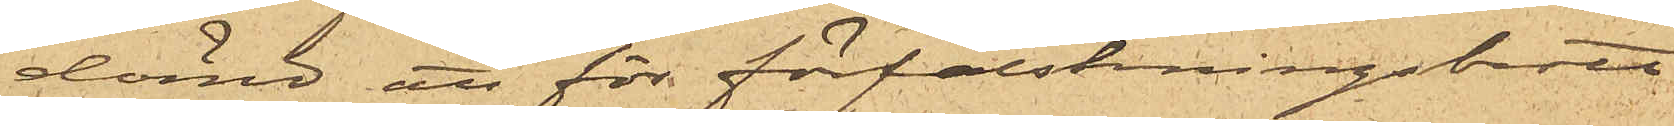dömd att för förfalskningsbrott
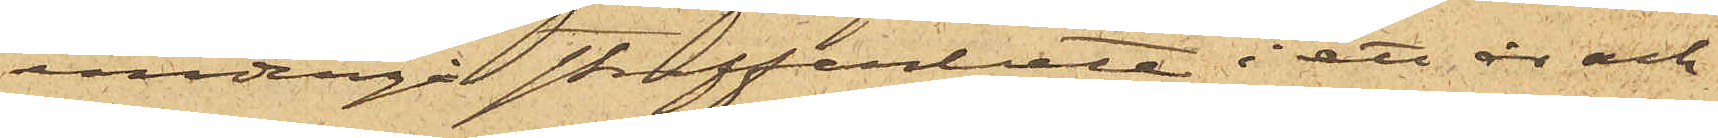undergå straffarbete i ett år och
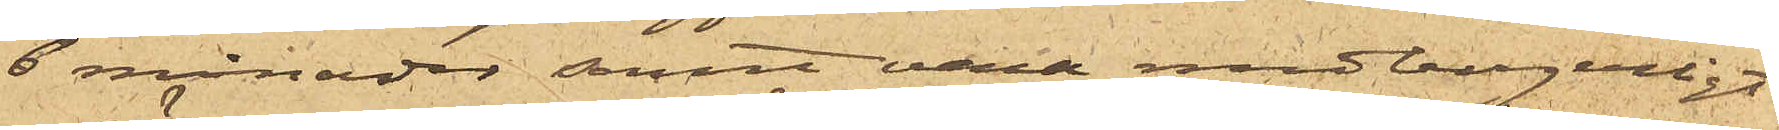6 månader samt vara medborgerligt
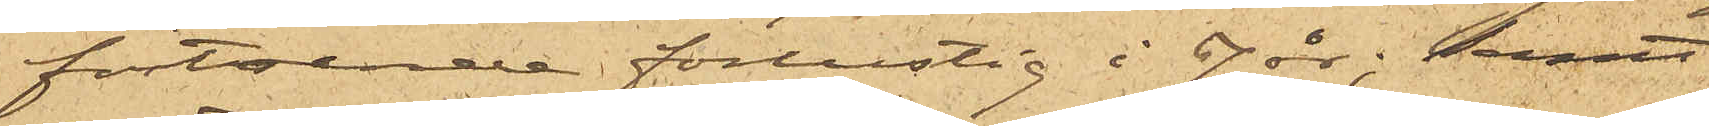förtroende förlustig i 7 år; samt
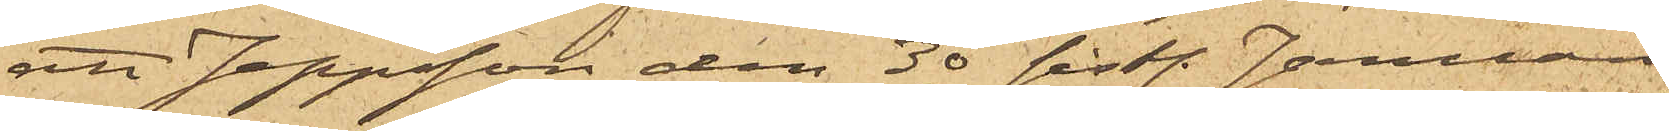att Jeppsson den 30 sist. Januari
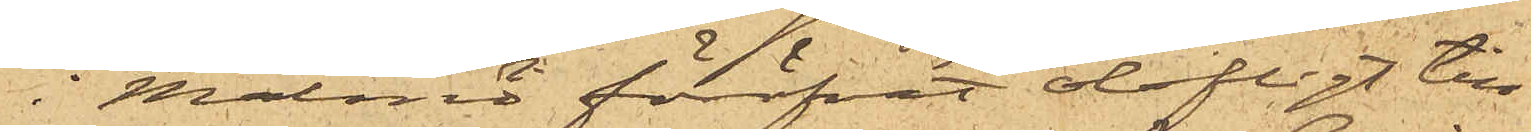i Malmö föröfvat olofligt till¬
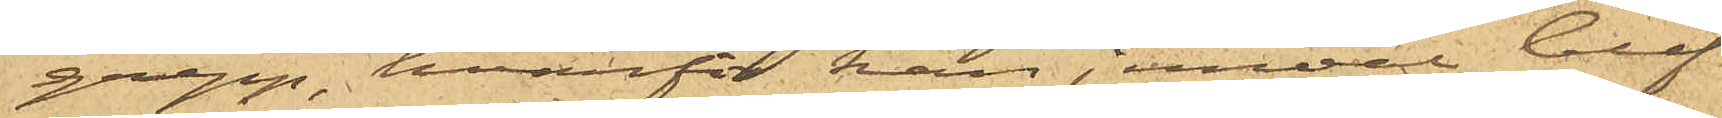grepp, hvarför han jemväl blif¬
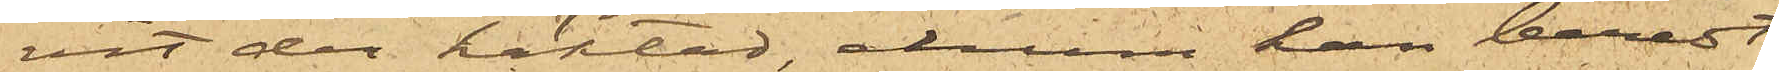vit der häktad, ehuru han beredt
